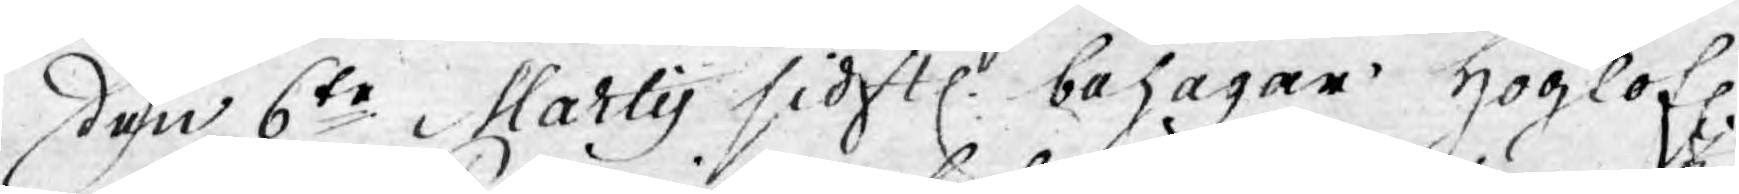den 6te Martij sidstl. behagar Höglofl.
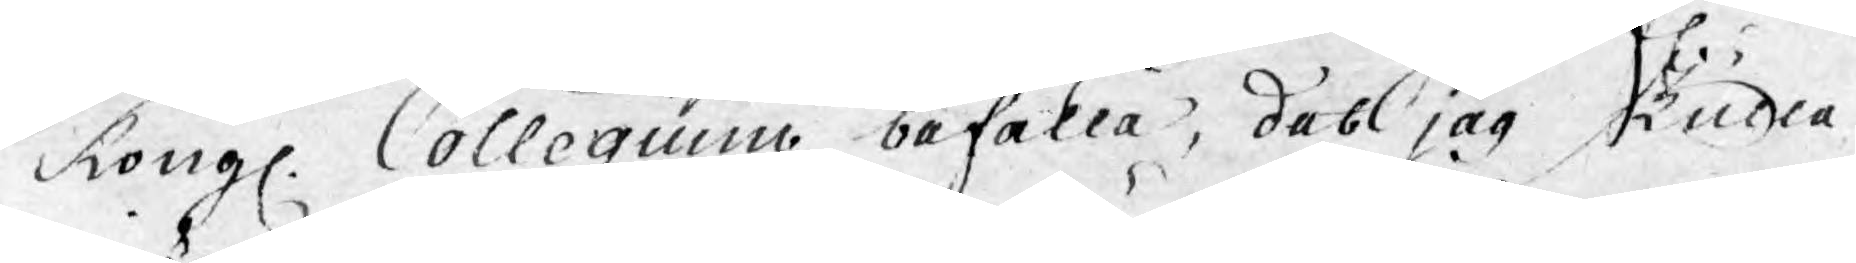Kongl. Collegium befalla, det jag skulle
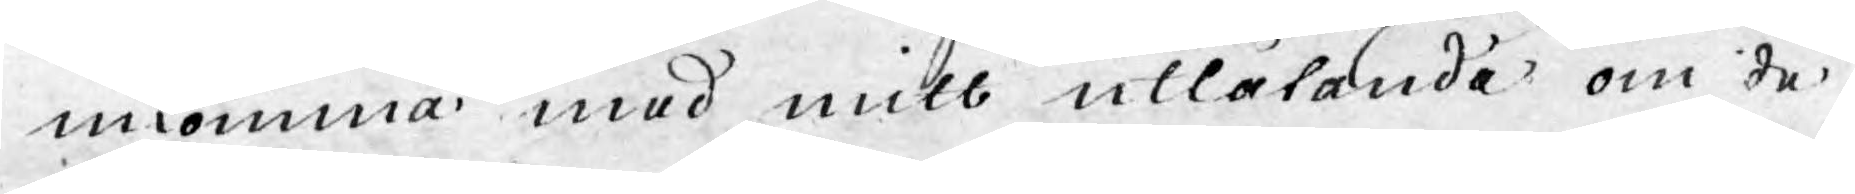inkomma med mitt utlåtande om de
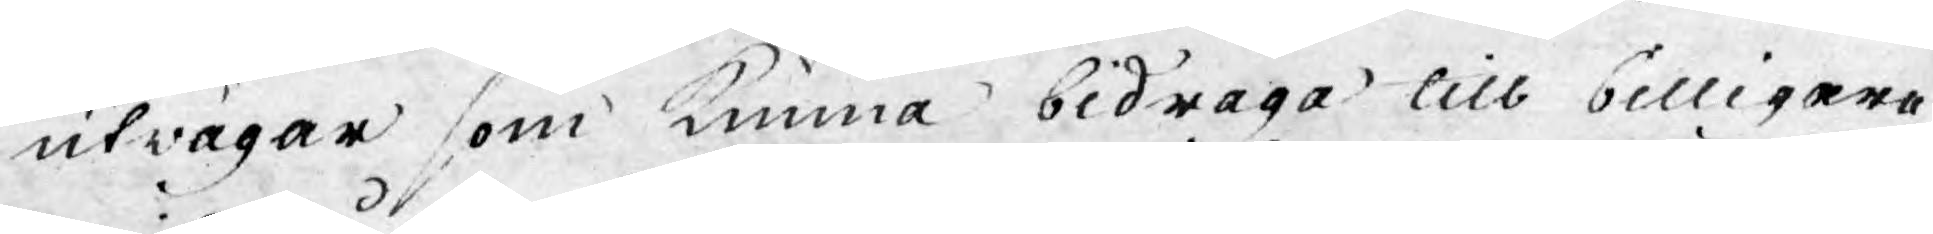utwägar som kunna bidraga till billigare
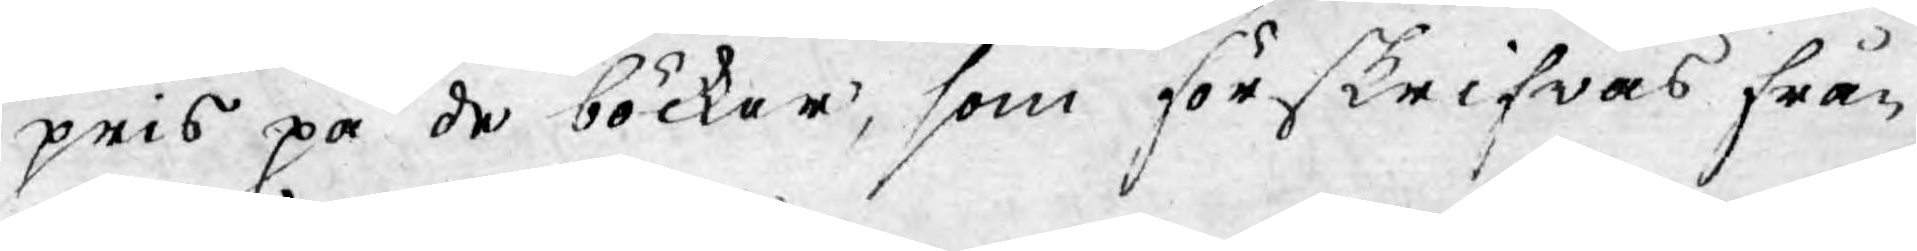pris på de böcker, som förskrifwas från
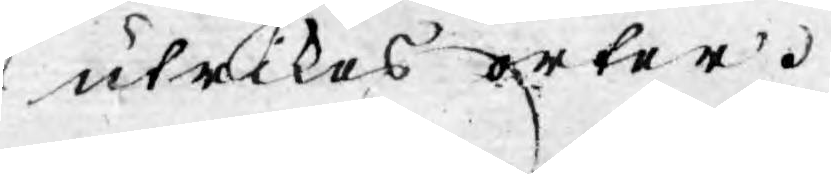utrikes orter.
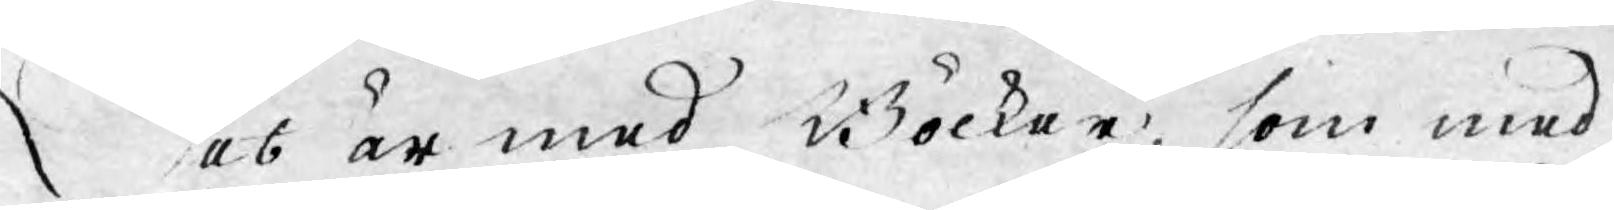Det är med Böcker, som med
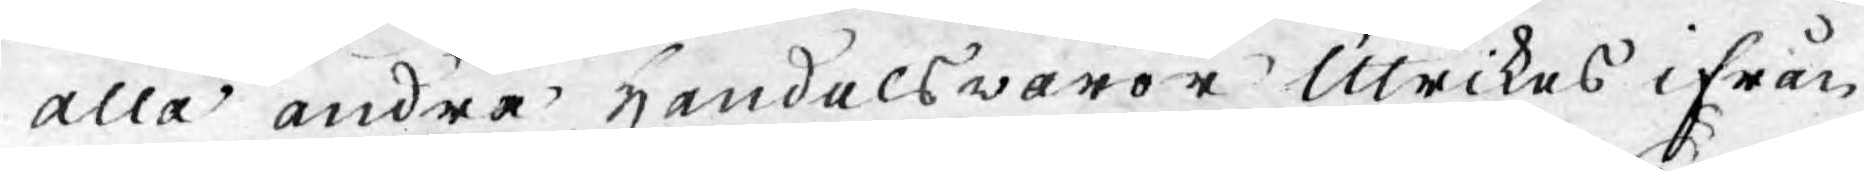alla andra Handelswaror Utrikes ifrån
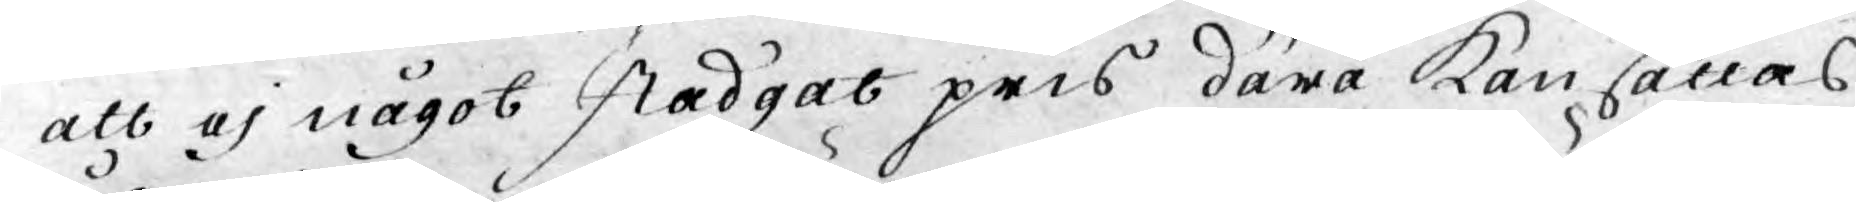att ej något stadgat pris därå kan sättas
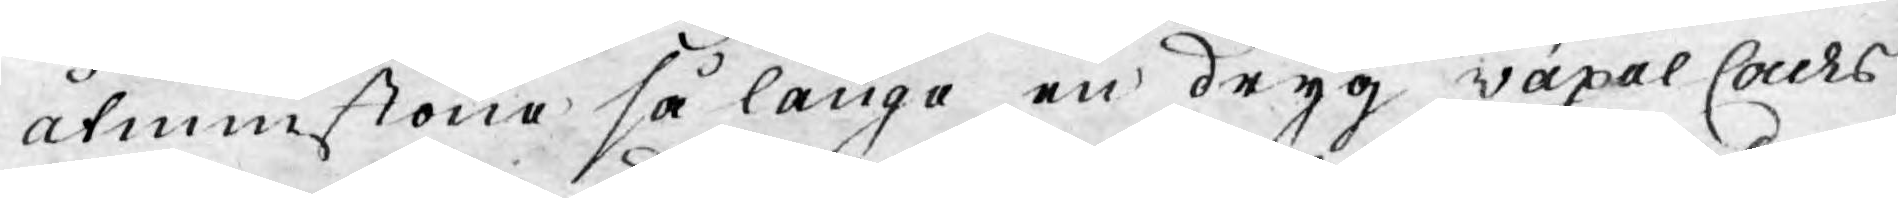åtminstone så länge en dryg växel Cours
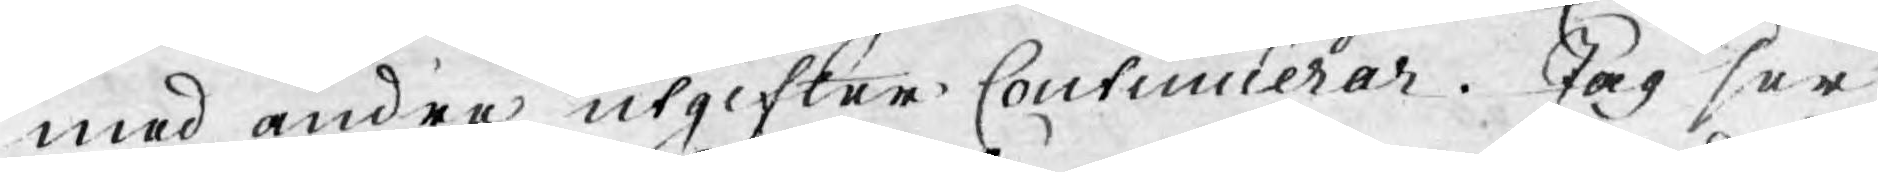med andra utgifter continuerar. Jag ser
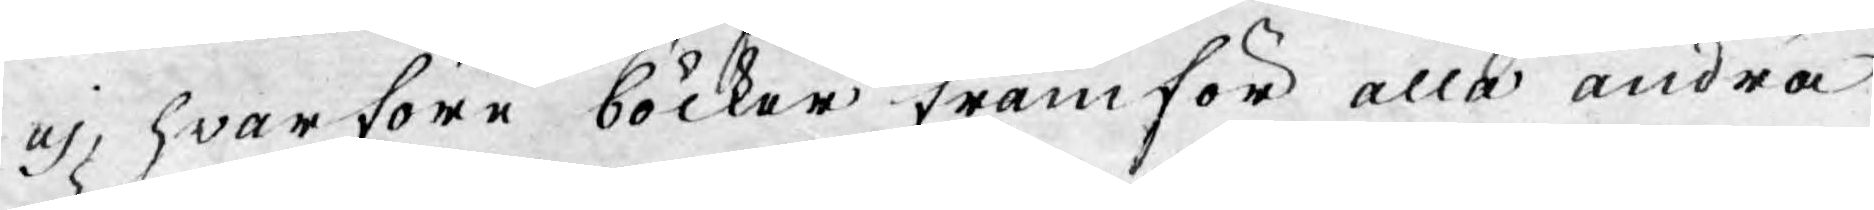ej, hwarföre böcker framför alla andra
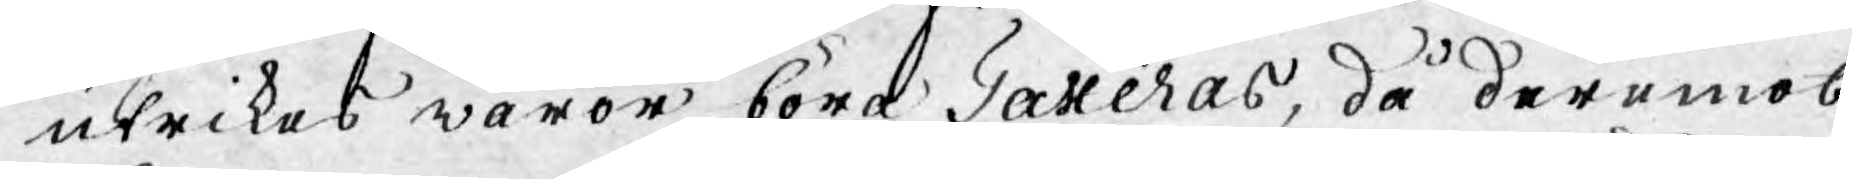utrikes waror böra Taxeras, då deremot
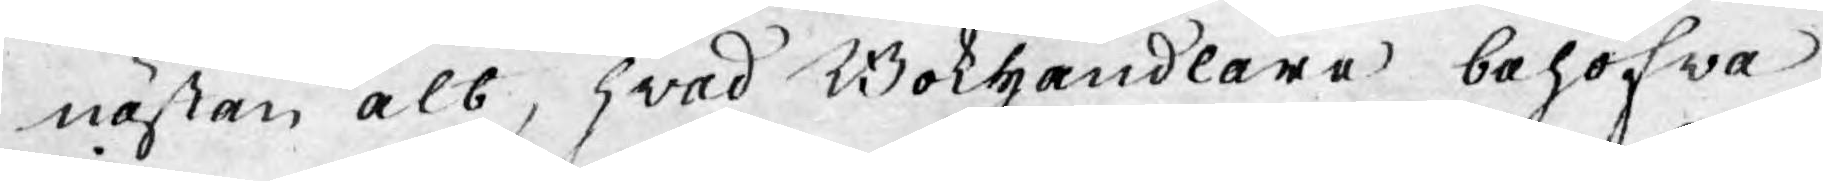nästan alt, hwad Bokhandlare behöfwa
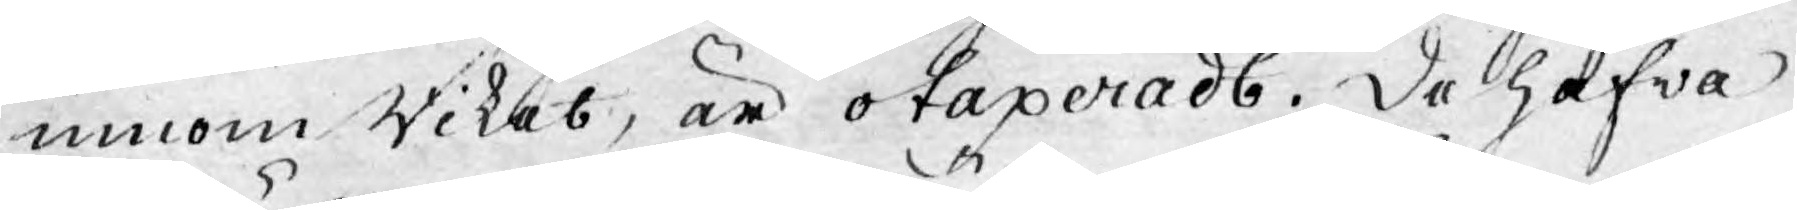inom Riket, är otaxeradt. De hafva
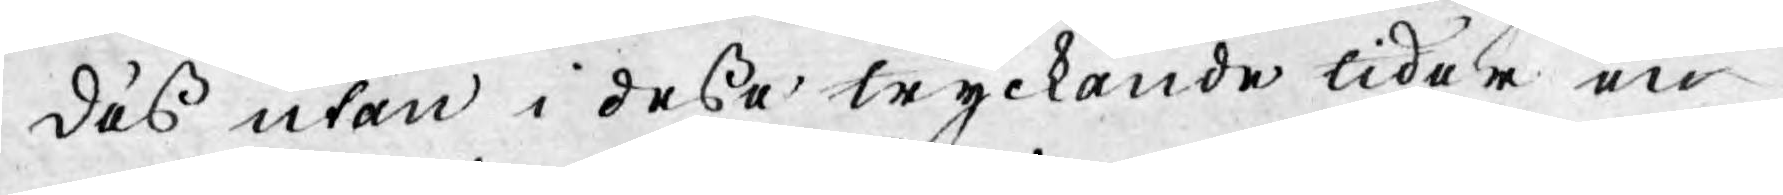dess utan i desse tryckande tider en
